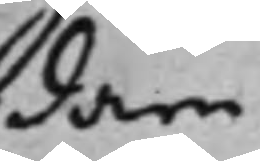dare
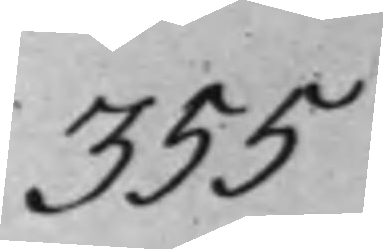355
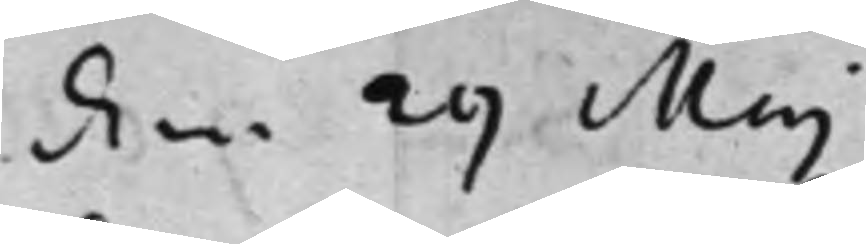den 29 Maj
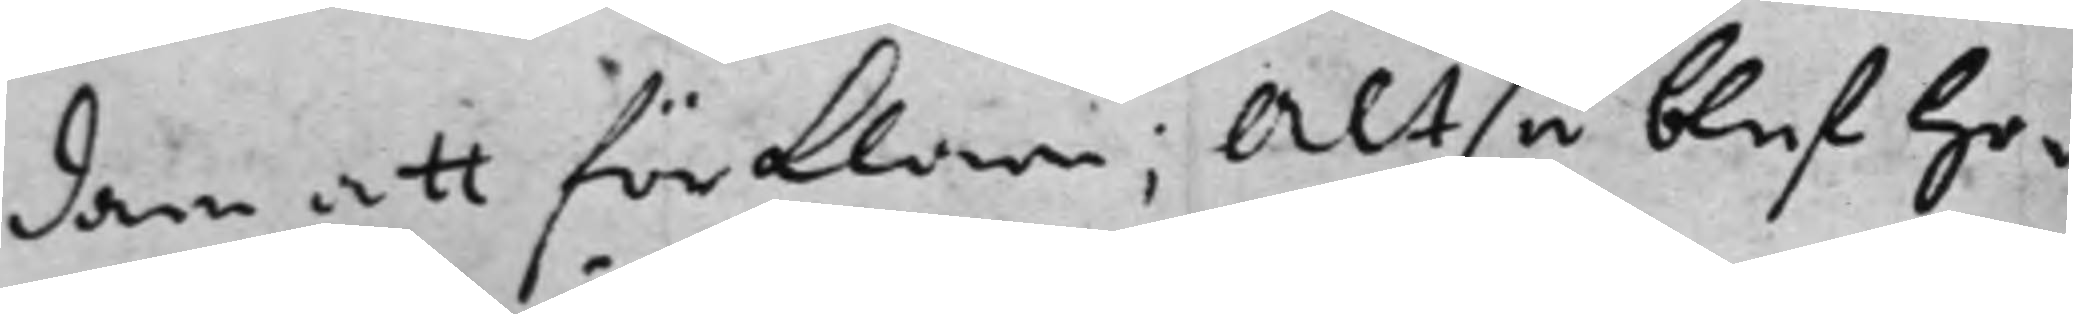dare att förklara; Altså blef ho¬
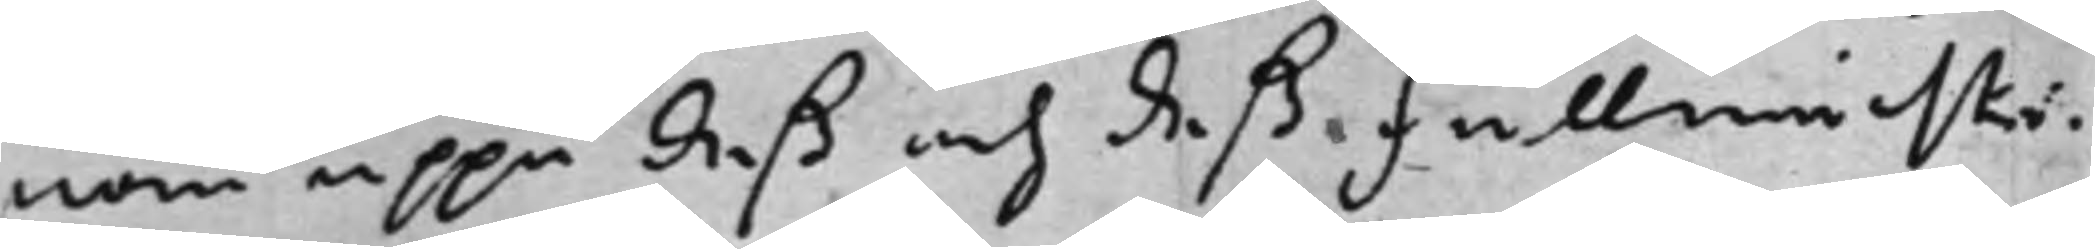nom uppå deß och deß Fullmächti¬
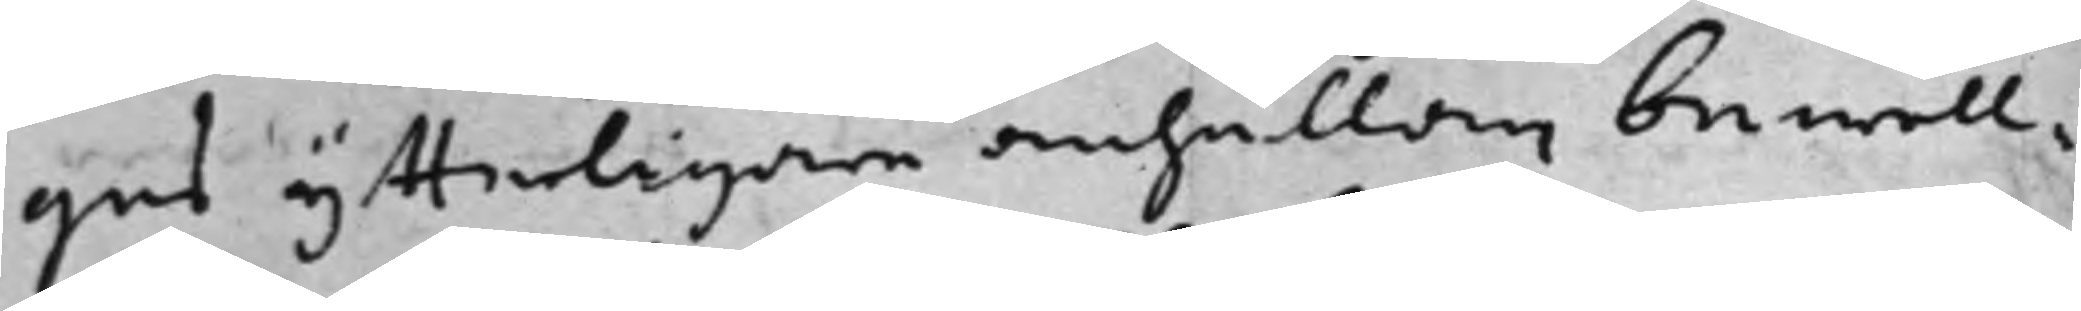gas ytterligare anhållan bewill¬
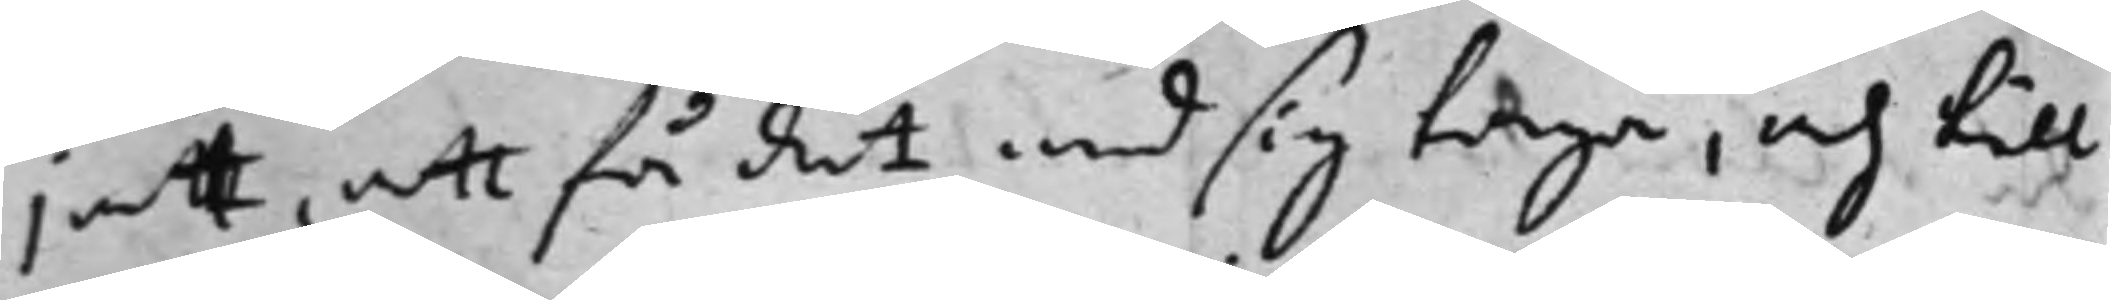jat, att få det med sig taga, och till
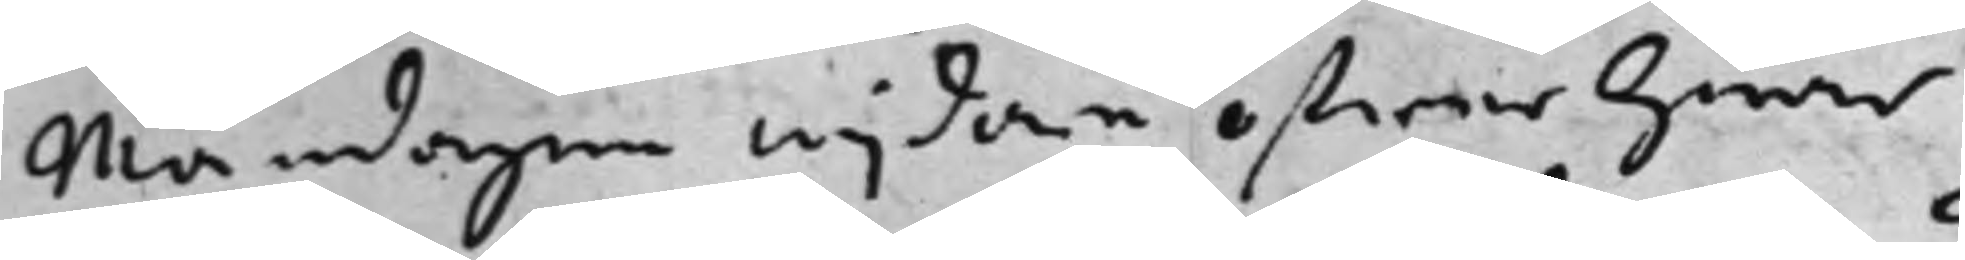Måndagen wijdare öfwer hwar
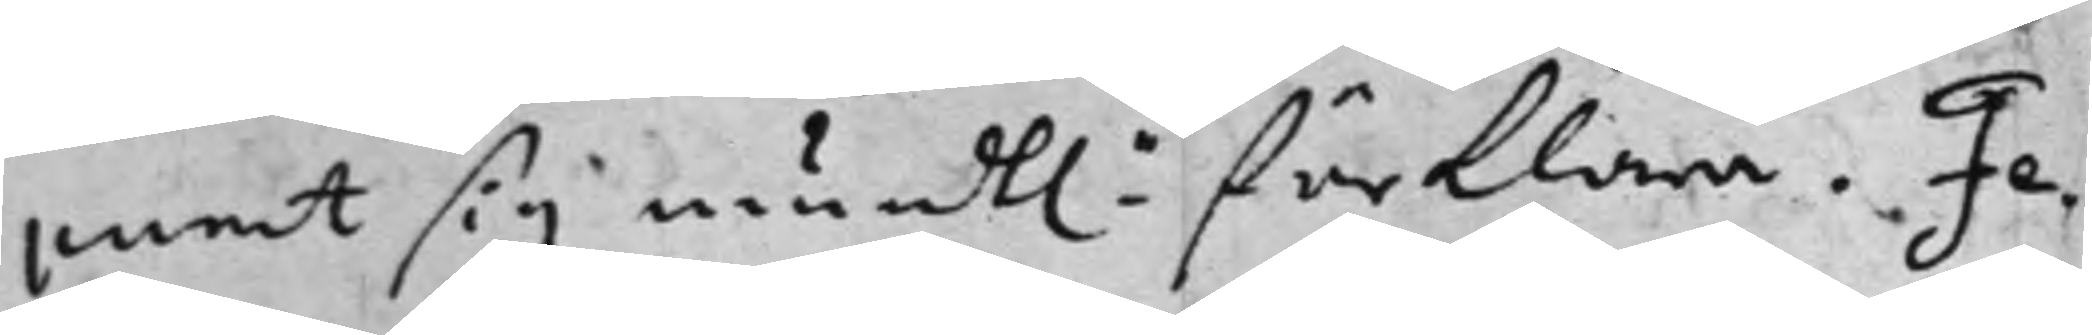punct sig mundt: förklara. Fe¬ 
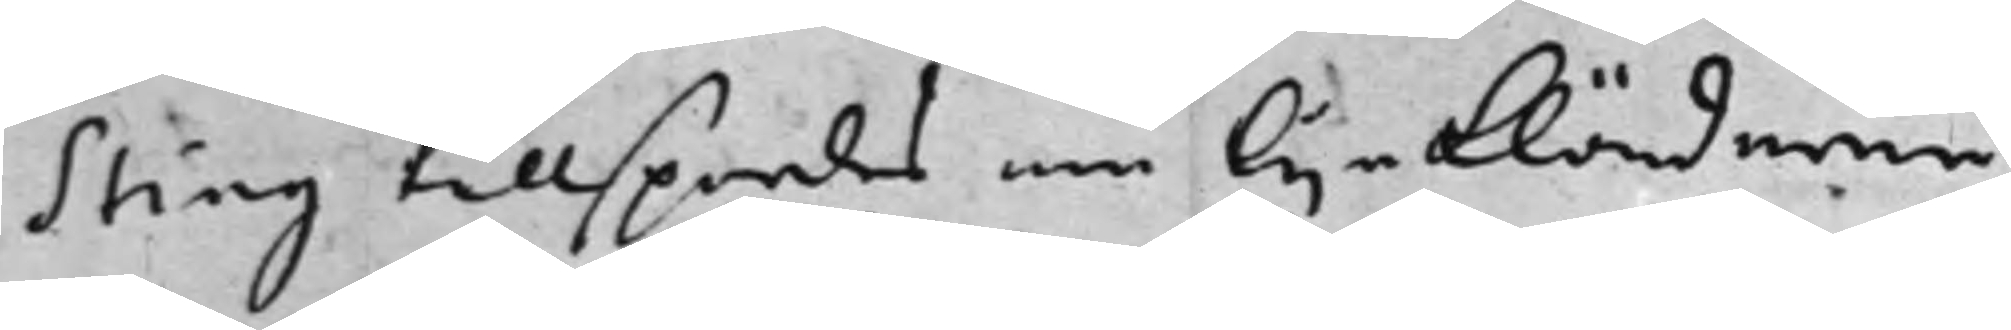sting tillspordes om lijnkläderna
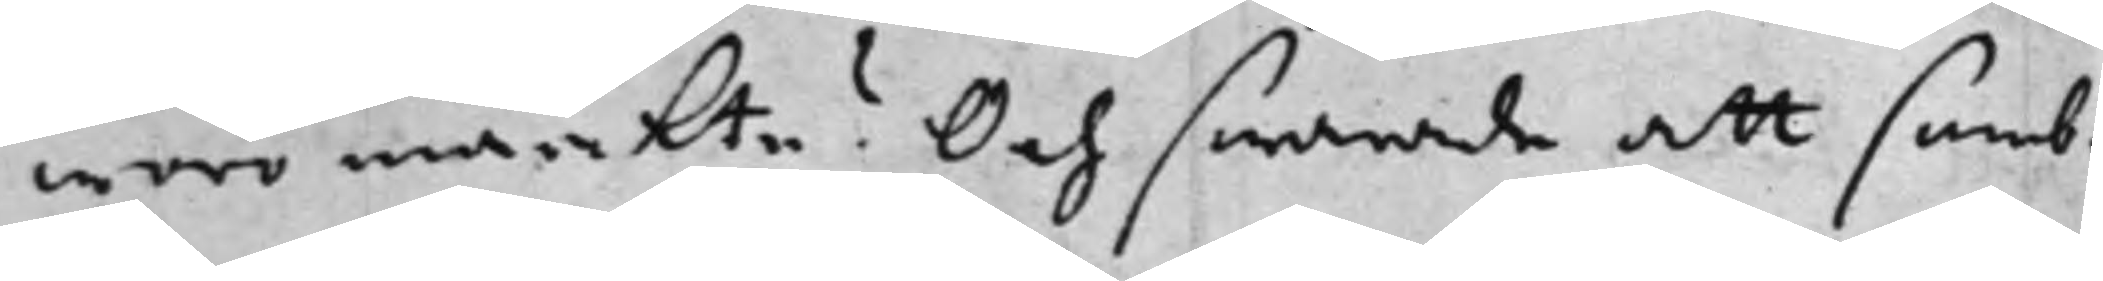woro märkta? Och swarade att somb¬
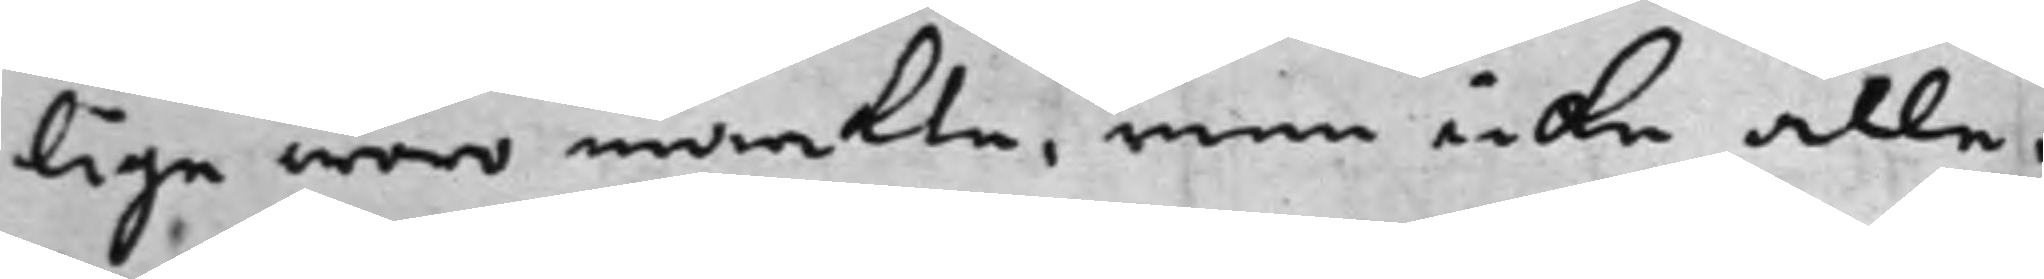lige woro märkta, men icke alle.
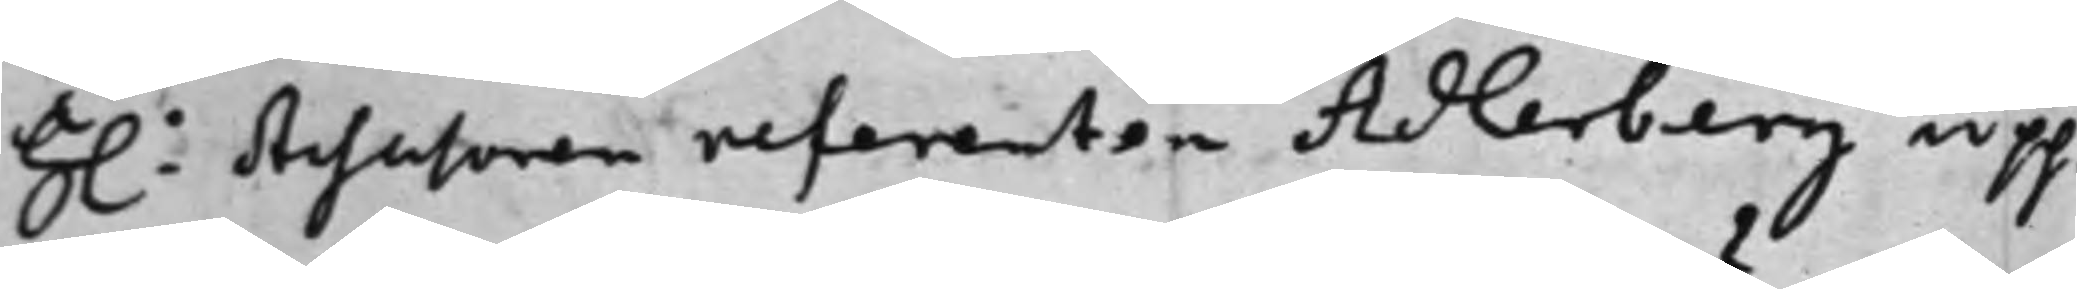H: Assessoren referenten Adlerberg upp¬
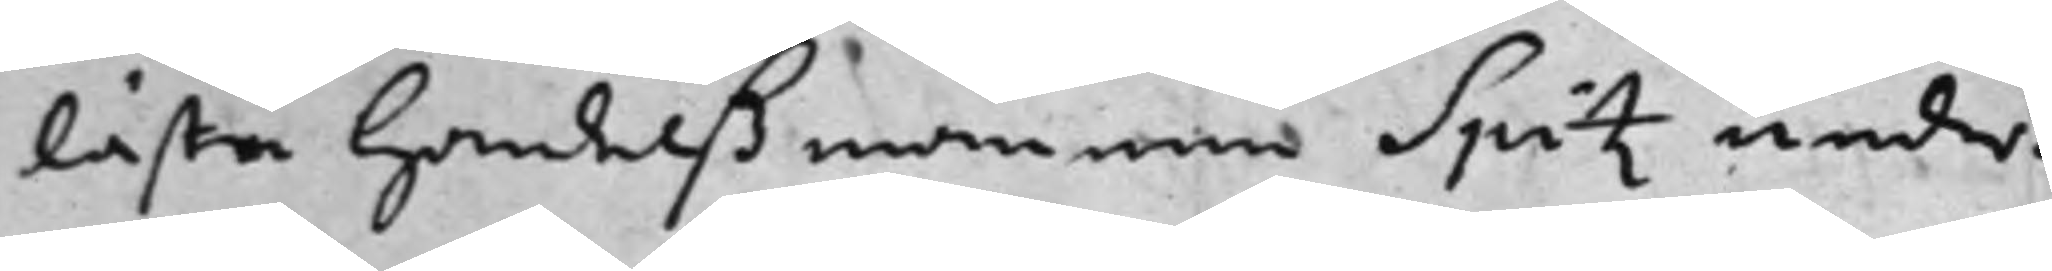läste Handelßmannen Spitz under¬
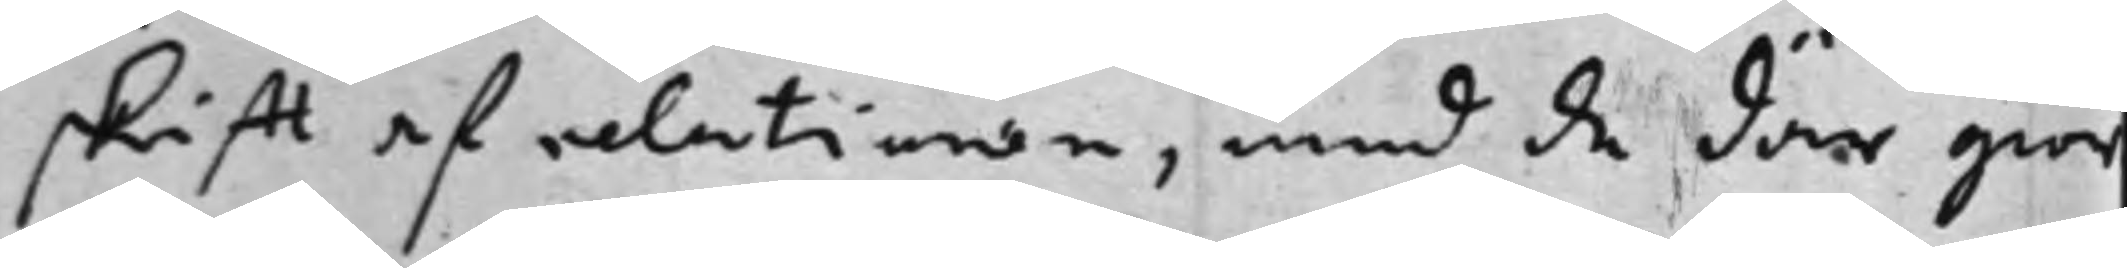skifft af relationen, med de där gior¬
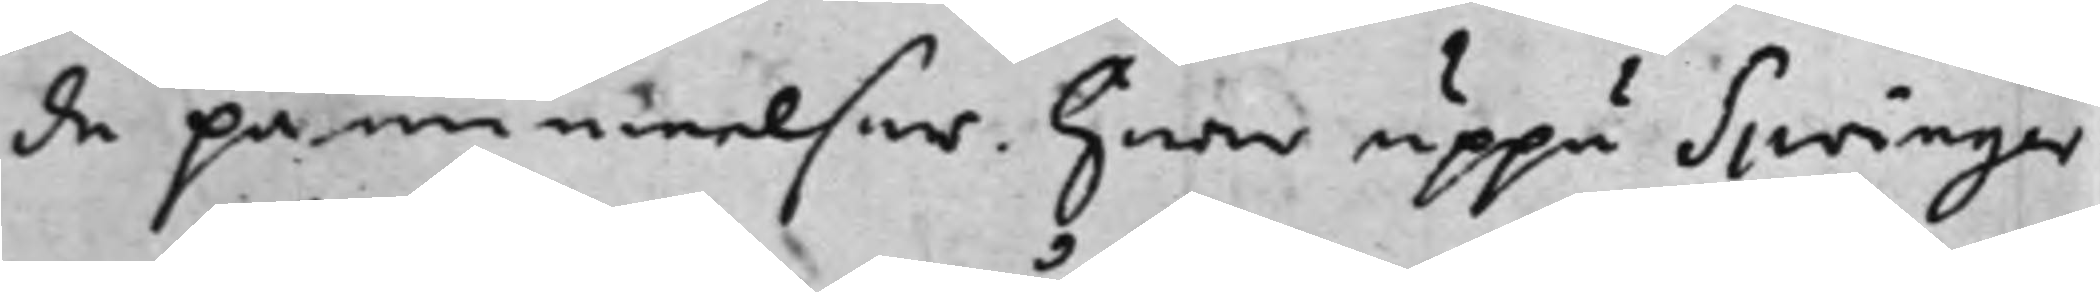da påminnelser. hwar uppå Springer
